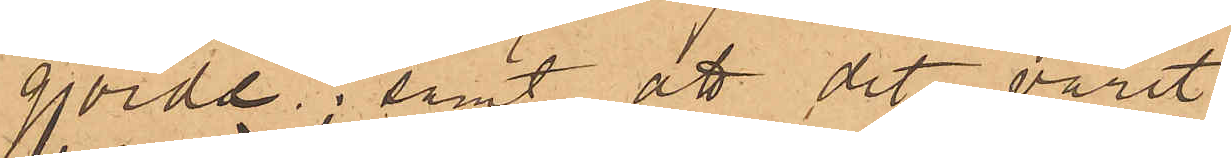gjorda; samt att det varit
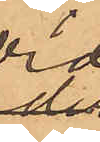vid
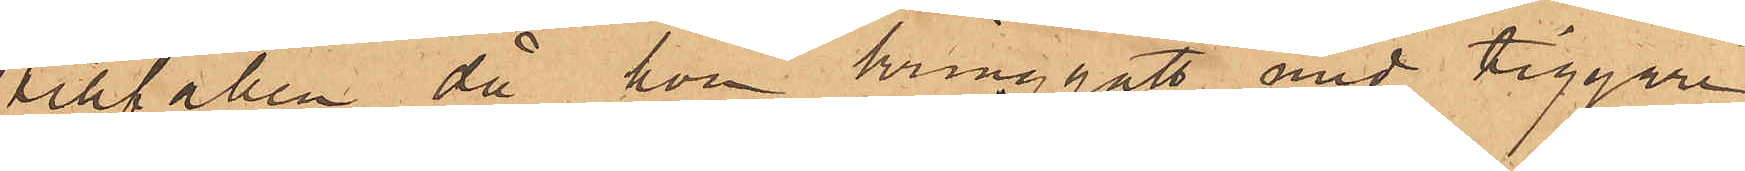tillfällen, då hon kringgått med tiggare¬
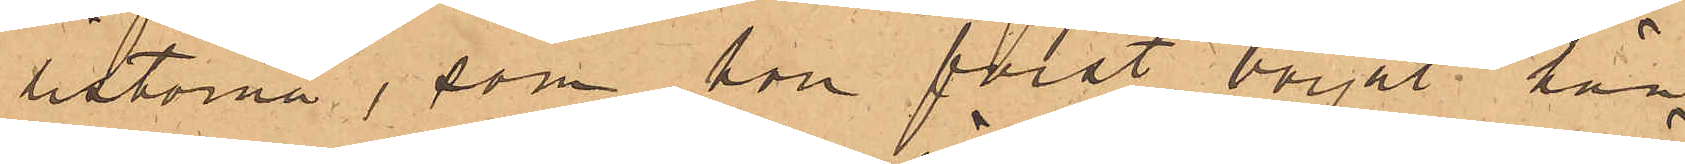listorna, som hon först börjat hän¬
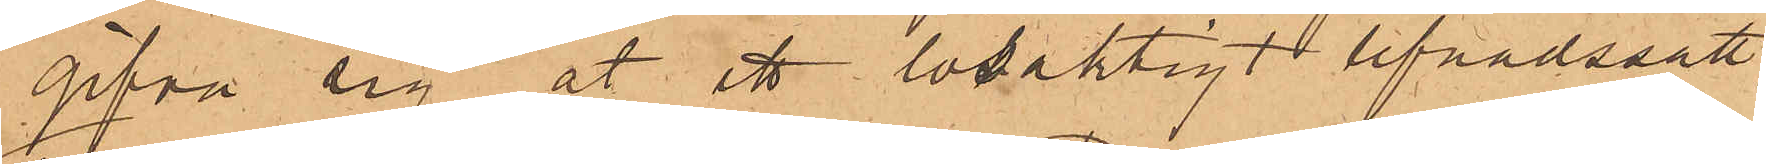gifva sig åt ett lösaktigt lefnadssätt.
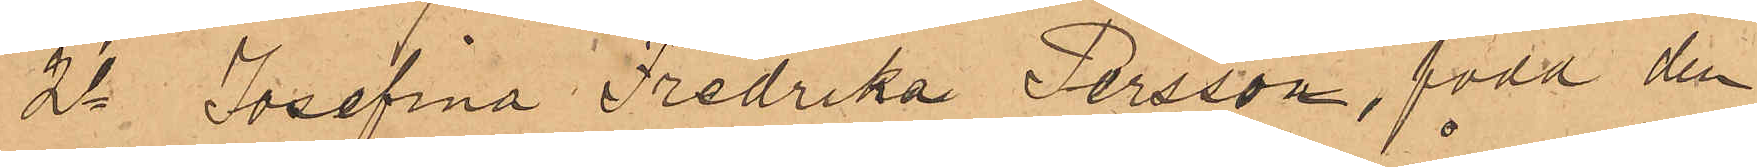2o Josefina Fredrika Persson, född den
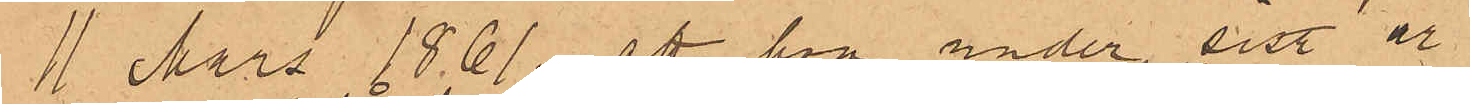1 Mars 1861, att hon under sist år
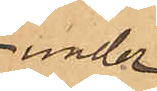under
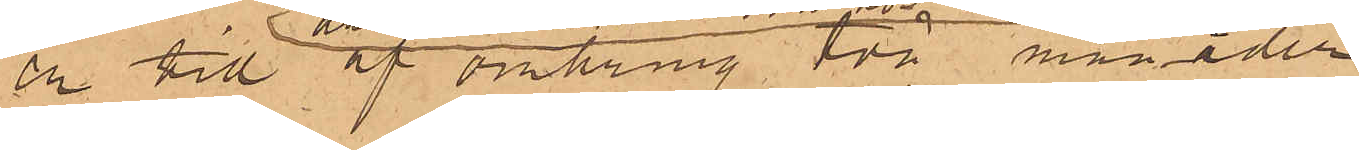en till af omkring två månader
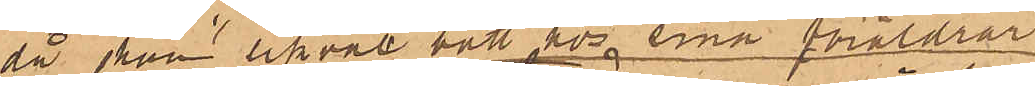då hon likväl bott hos sina föräldrar
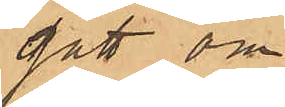gått om¬
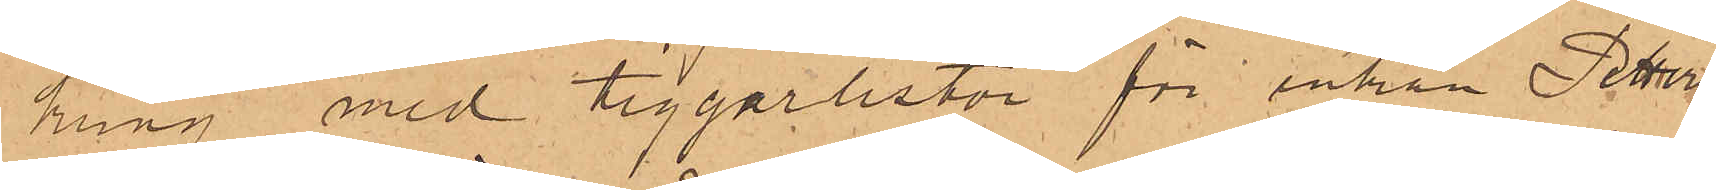kring med tiggarlistor för enkan Petters¬
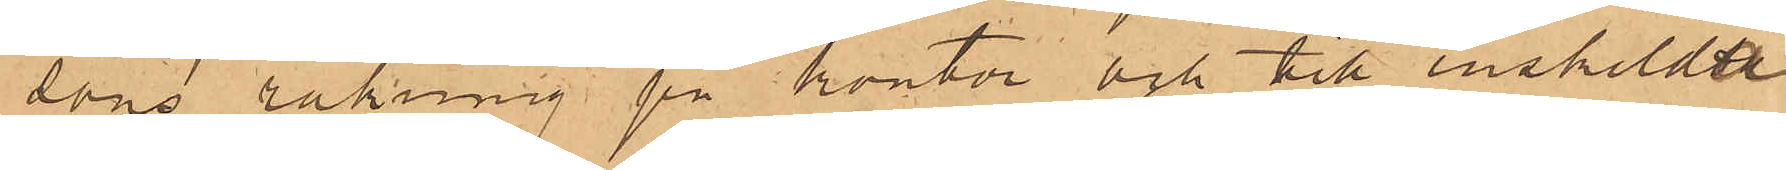sons räkning på kontor och till enskildte
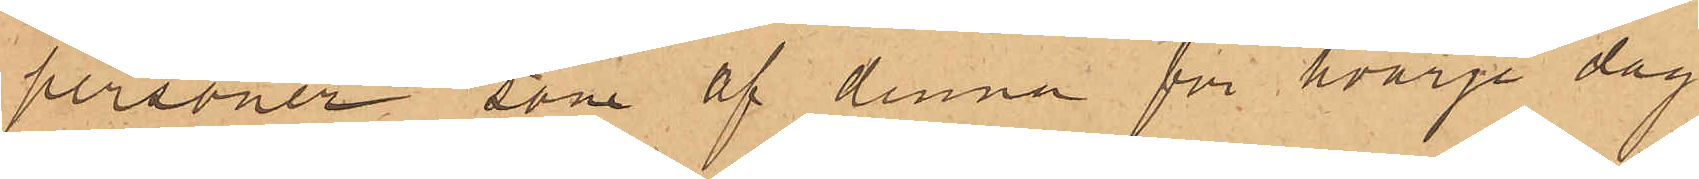personer, som af denna för hvarje dag
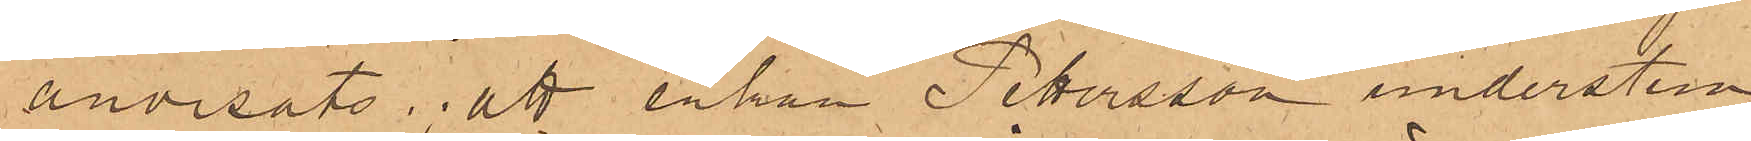anvisats; att enkan Pettersson understun¬
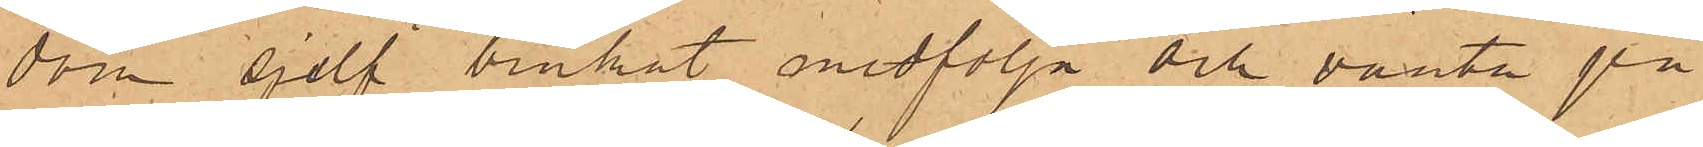dom sjelf brukat medfölja och vänta på
